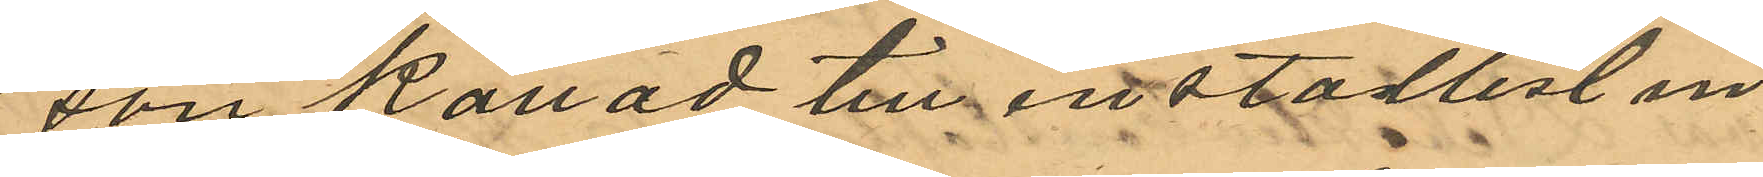son kallad till inställelse in¬
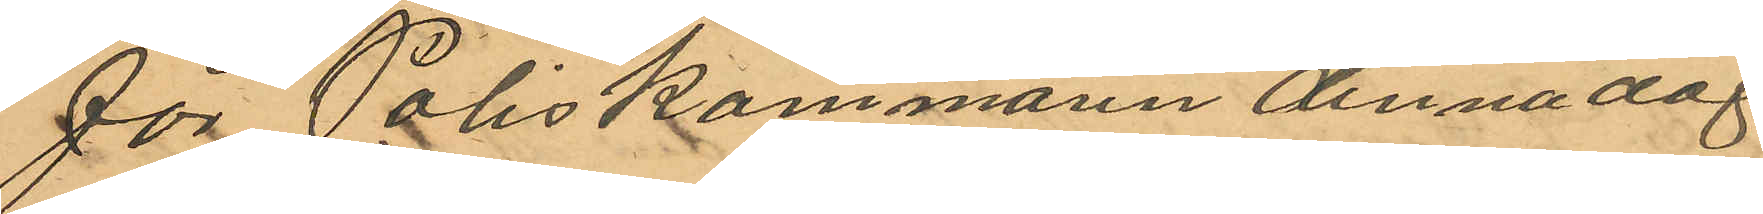för Poliskammaren denna dag
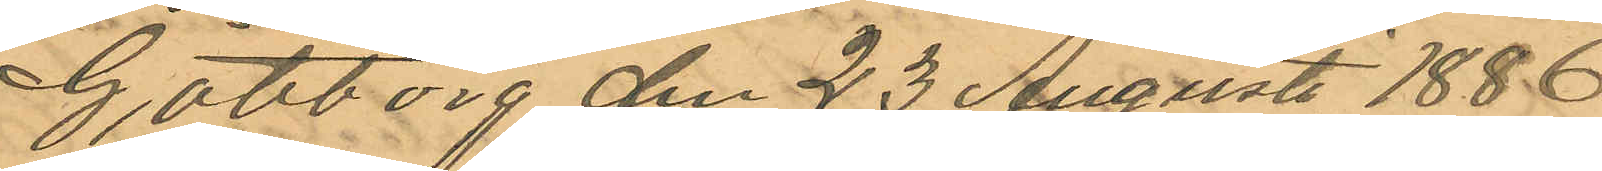Göteborg den 23 Augusti 1886
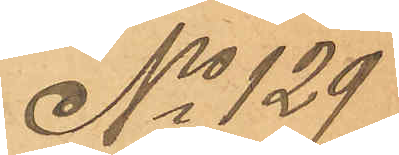No 129
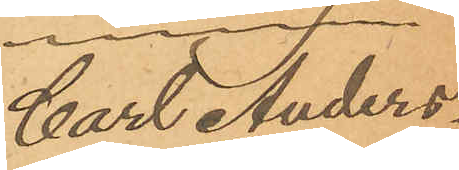Carl Anders¬
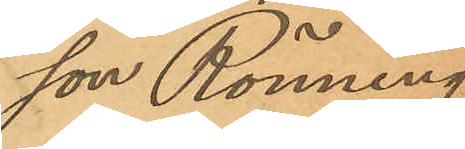son Rönning.
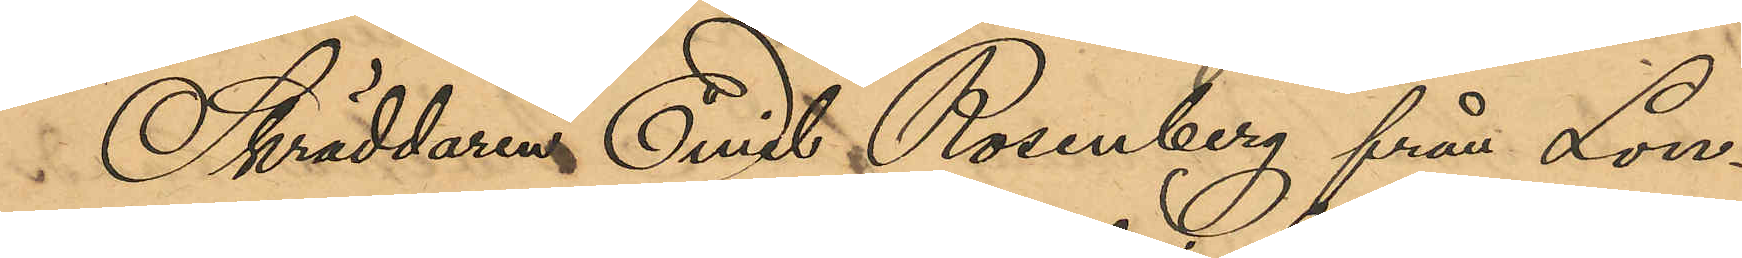Skräddaren Emil Rosenberg från Lon¬
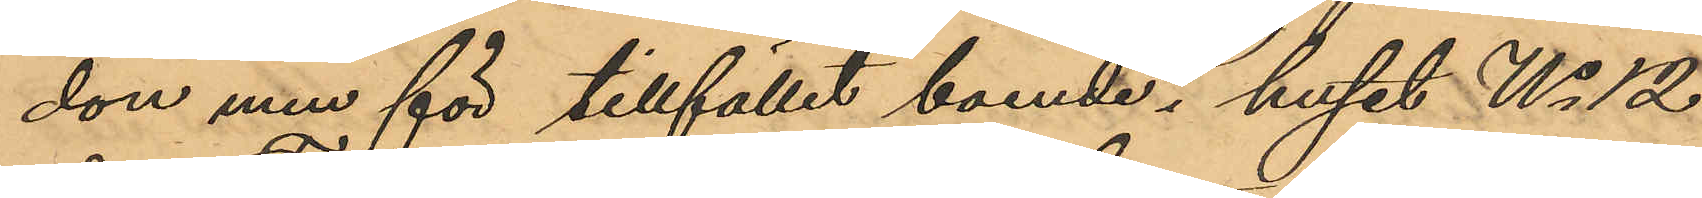don men för tillfället boende i huset No 12
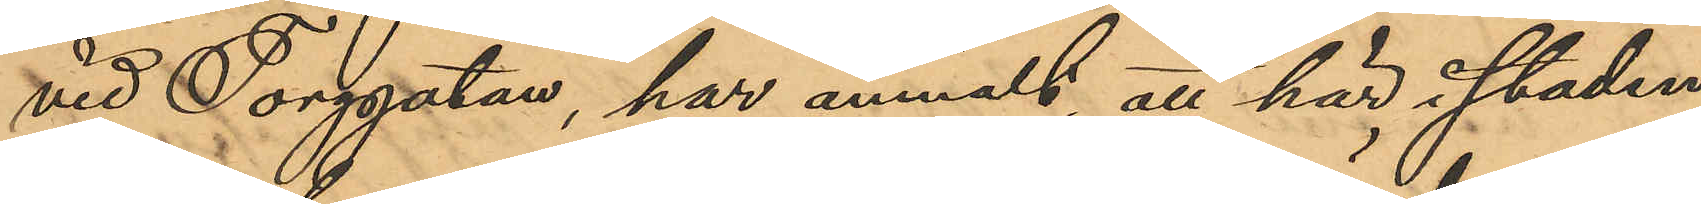vid Torggatan, har anmält, att här i staden
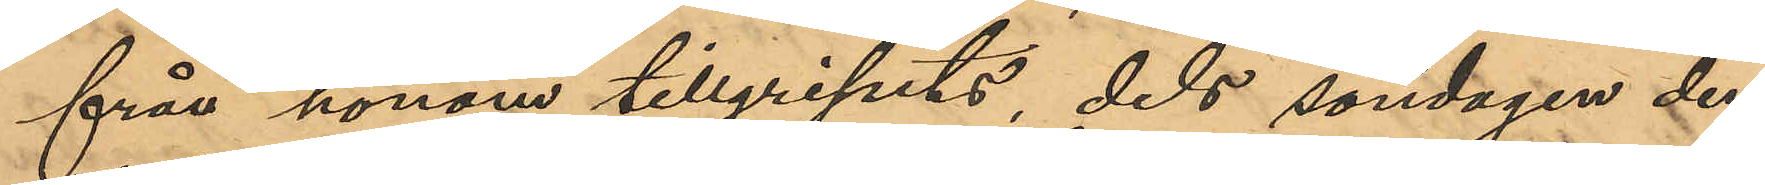från honom tillgripits, dels söndagen den
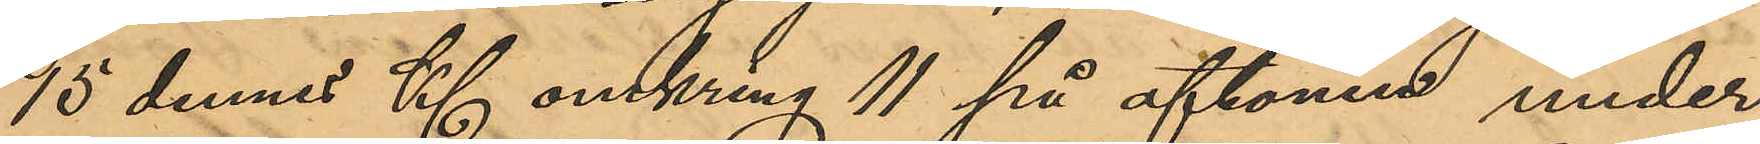15 dennes Kl omkring 11 på aftonen under
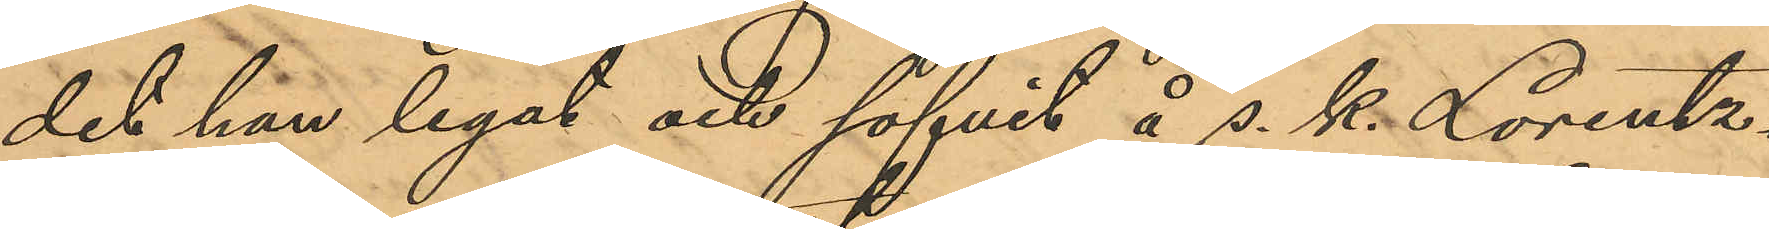det han legat och sofvit å s. k. Lorentz¬
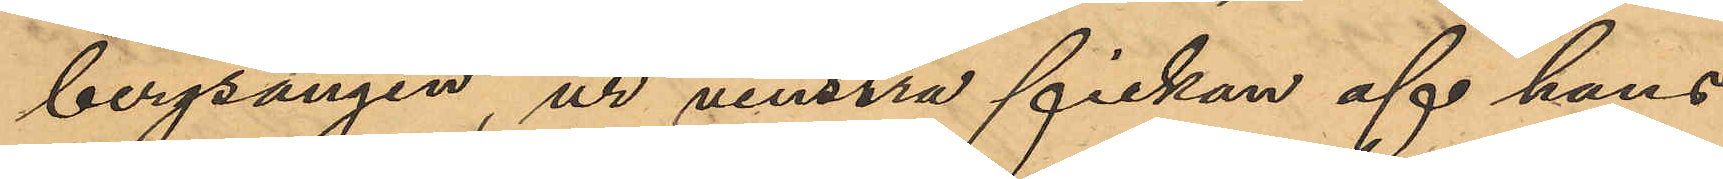bergsängen, ur venstra fickan af hans
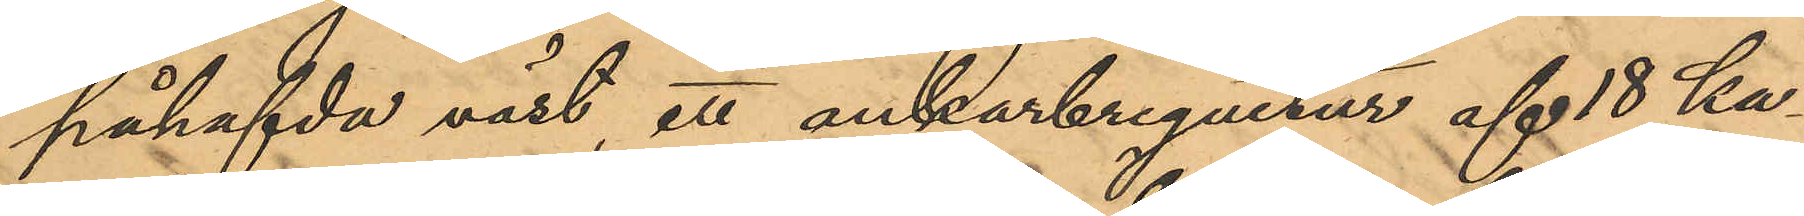påhafvda väst, ett ankarbreguetur af 18 ka¬
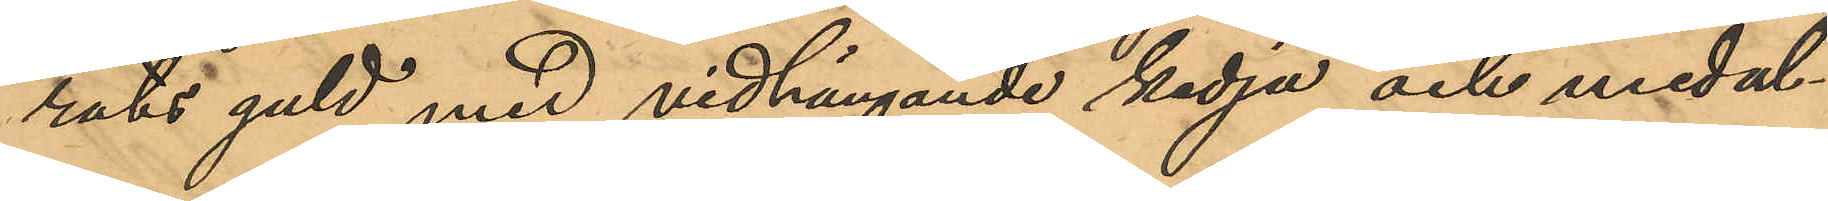rats guld med vidhängande kedja och medal¬
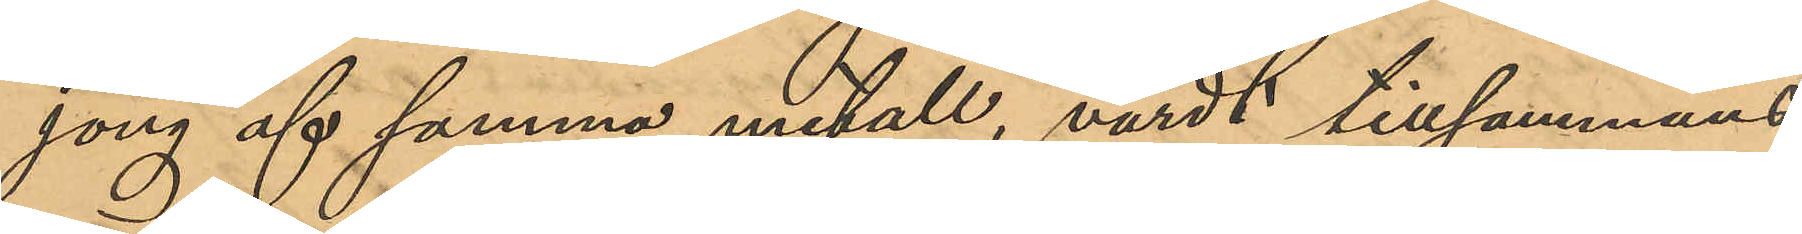jong af samma metall, värdt tillsammans
